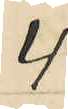4
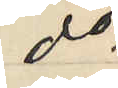do
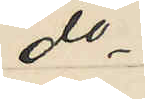do
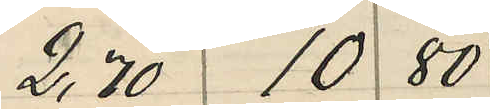2,70 10 80
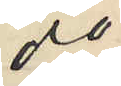do
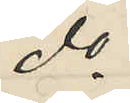do
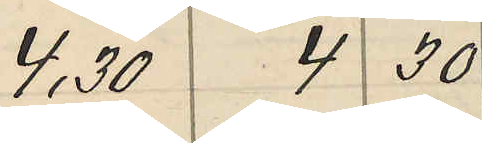4,30 4 30
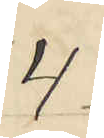4
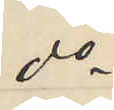do
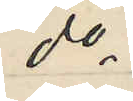do
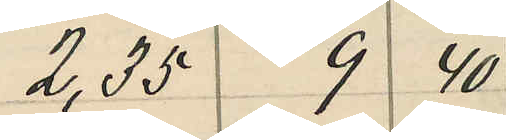2,35 9 40
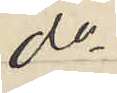do
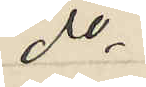do
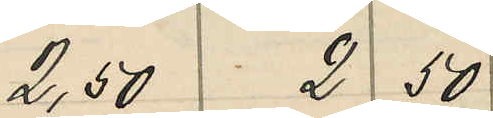2,50 2 50
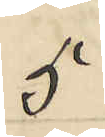5
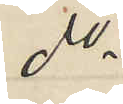do
